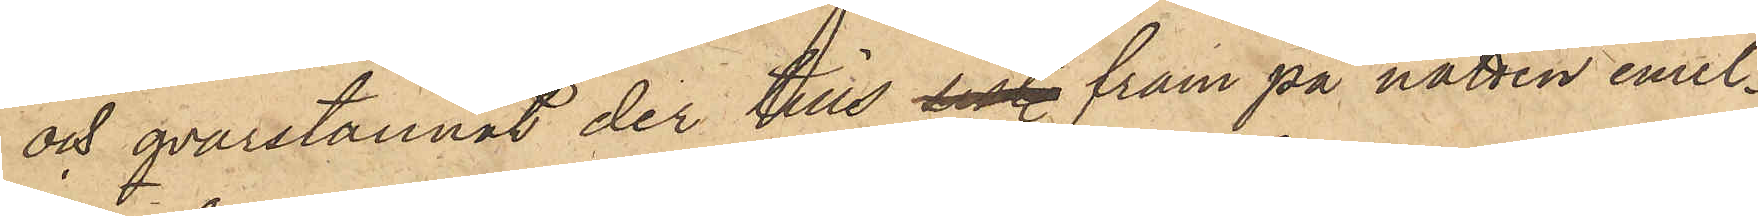och qvarstannat der tills sist fram på natten emel¬
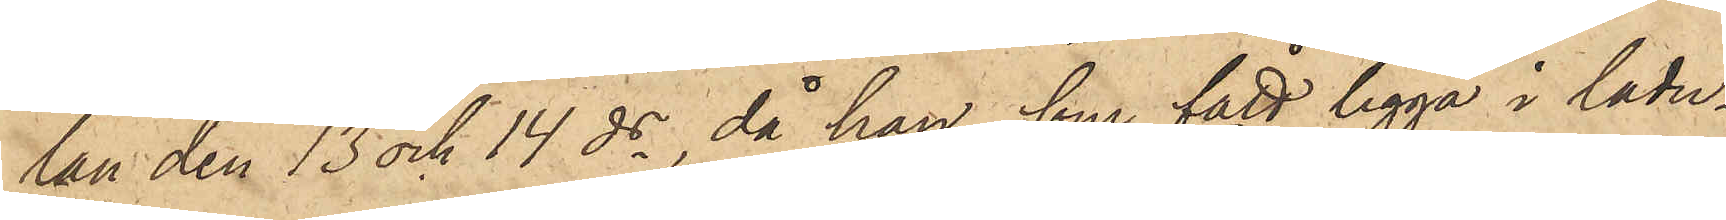lan den 13 och 14 ds, då han, som fått ligga i ladu¬
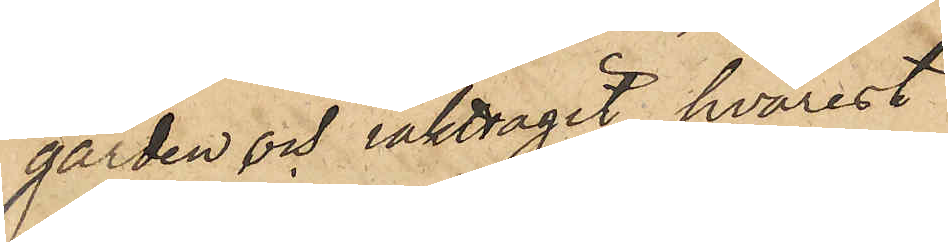gården och iakttagit hvarest
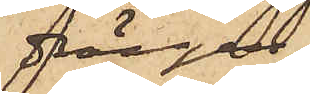drängen
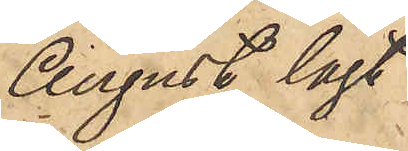August lagt
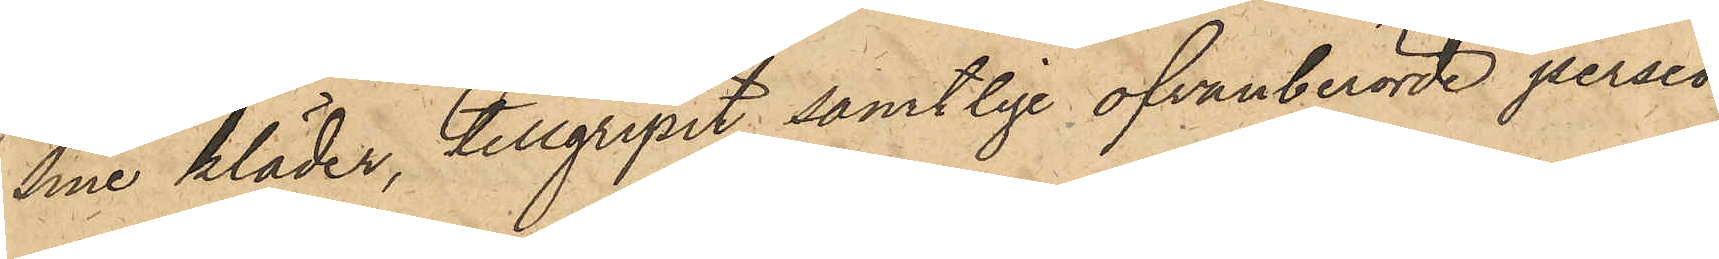sine kläder, tillgripit samtlige ofvanberörde persed¬
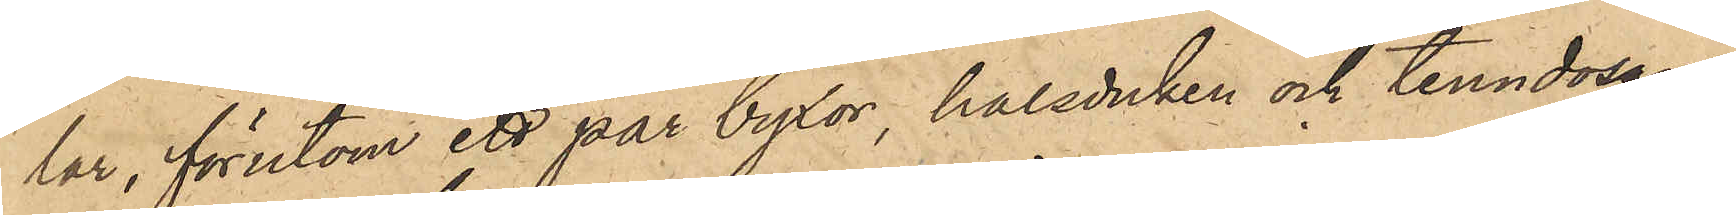lar, förutom ett par byxor, halsduken och tenndosan;
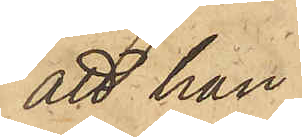att han
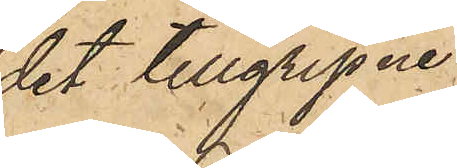det tillgripne
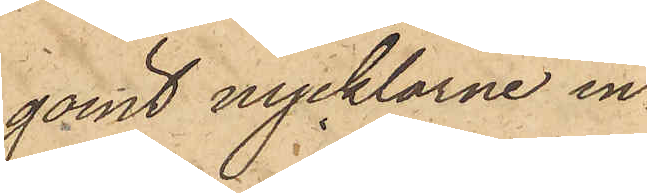gömt nycklarne in¬
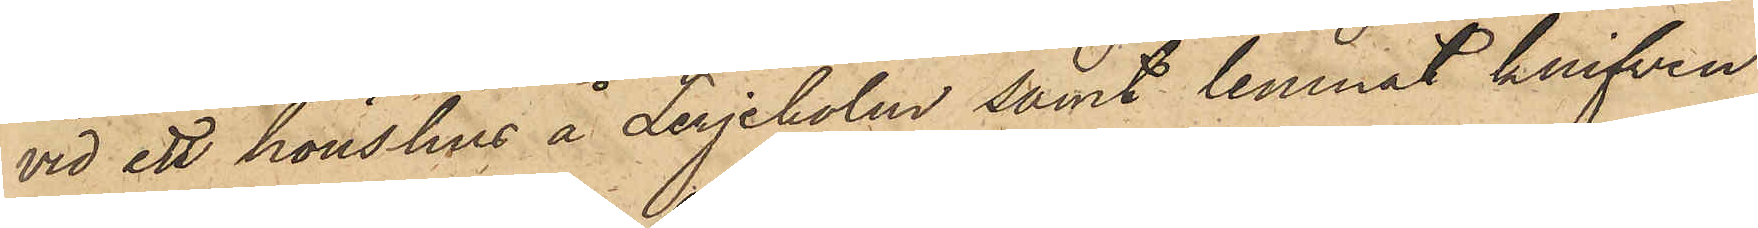vid ett hönshus å Lerjeholm samt lemnat knifven
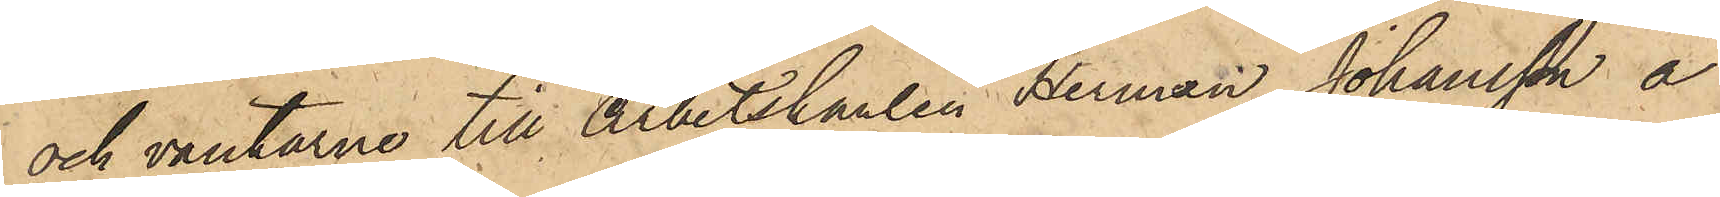och vantarne till Arbetskarlen Herman Johansson å
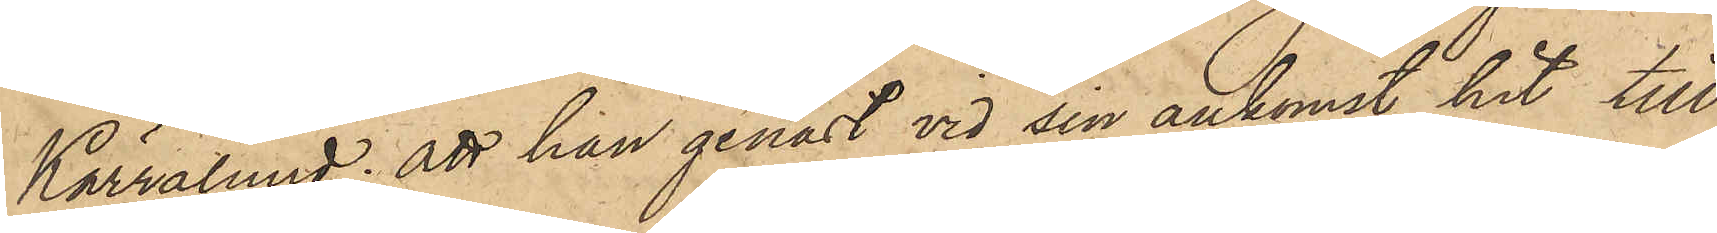Kärralund; att han genast vid sin ankomst hit till
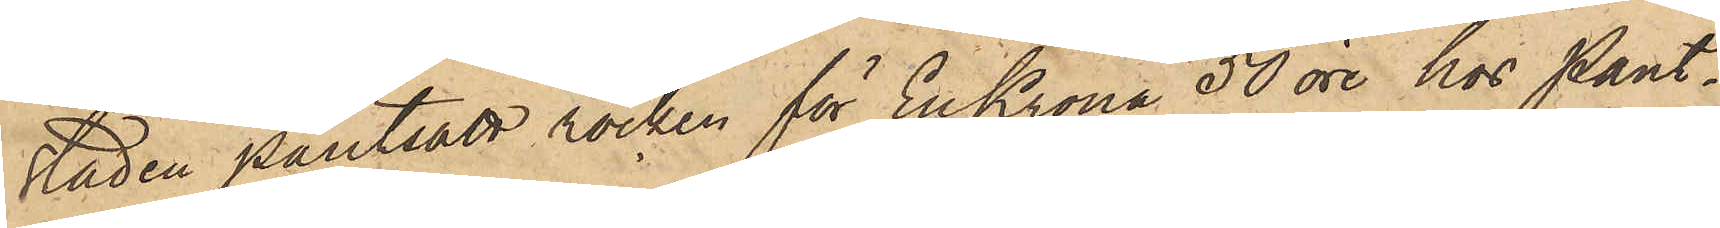staden pantsatt rocken för En Krona 50 öre hos Pant¬
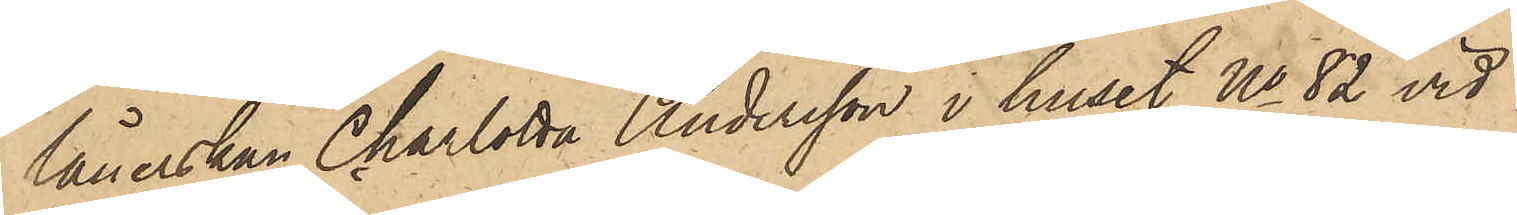lånerskan Charlotta Andersson i huset No 82 vid
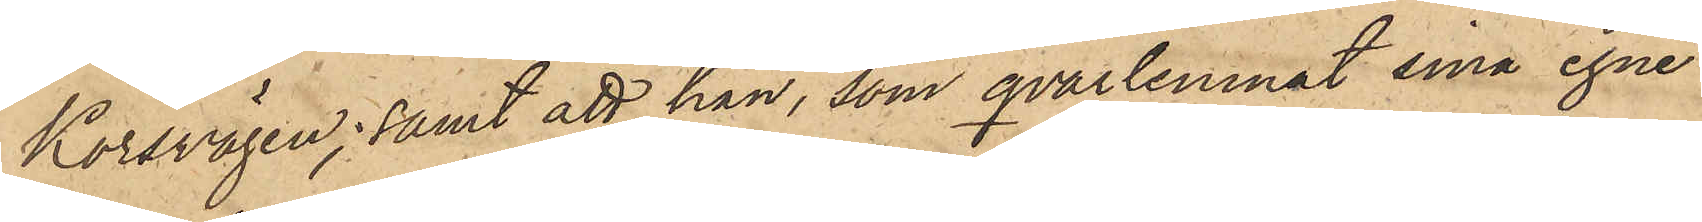Korsvägen; samt att han, som qvarlemnat sina egne
